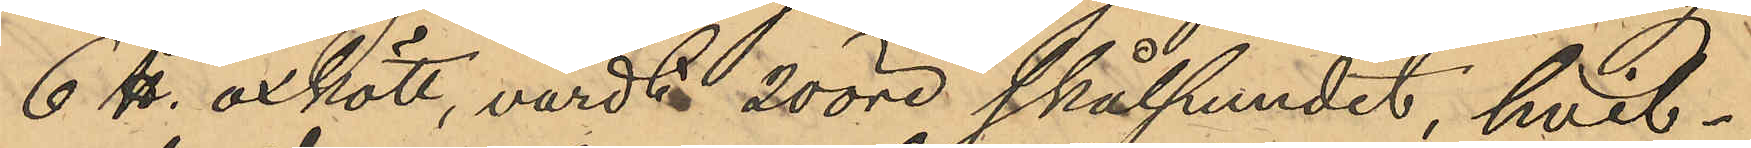6 ℔ oxkött, värdt 20 öre skålpundet, hvil¬
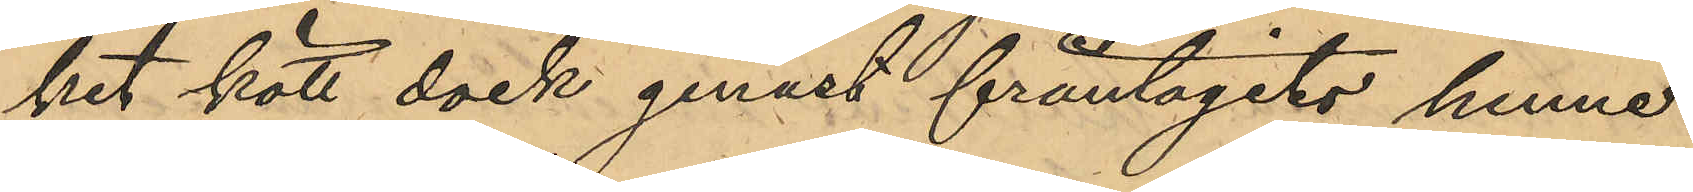ket kött dock genast fråntagits henne
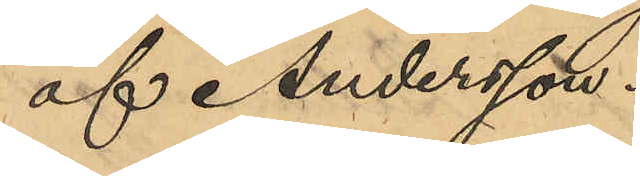af Andersson.
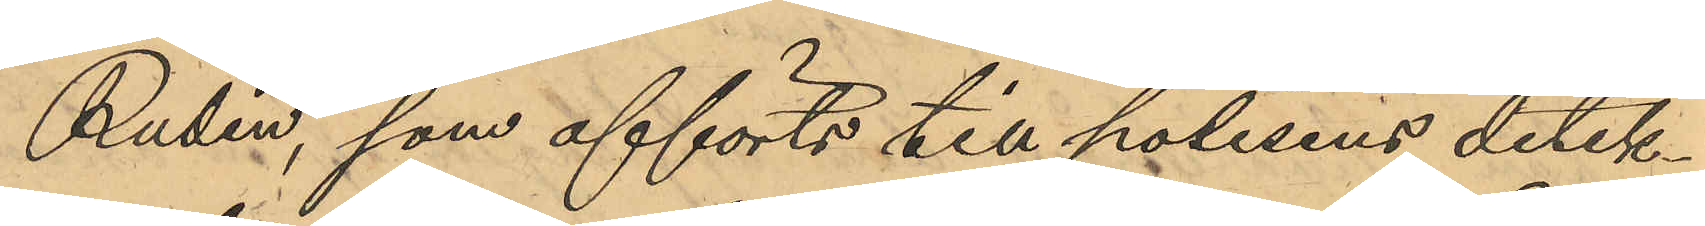Rudin, som afförts till polisens detek¬
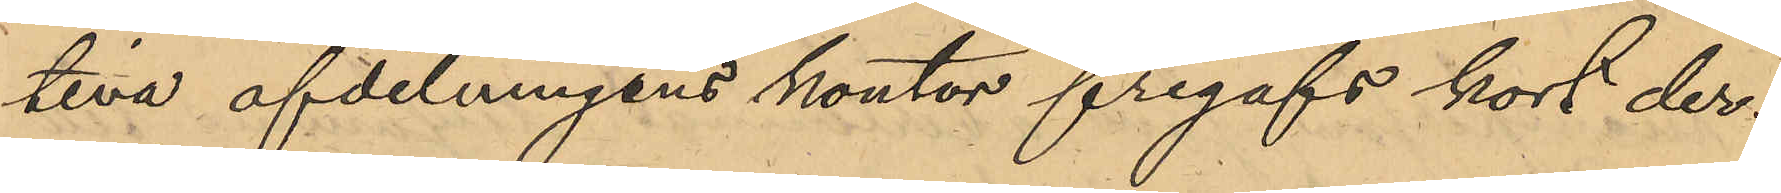tiva afdelningens kontor frigafs kort der¬
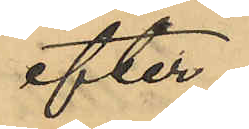efter.
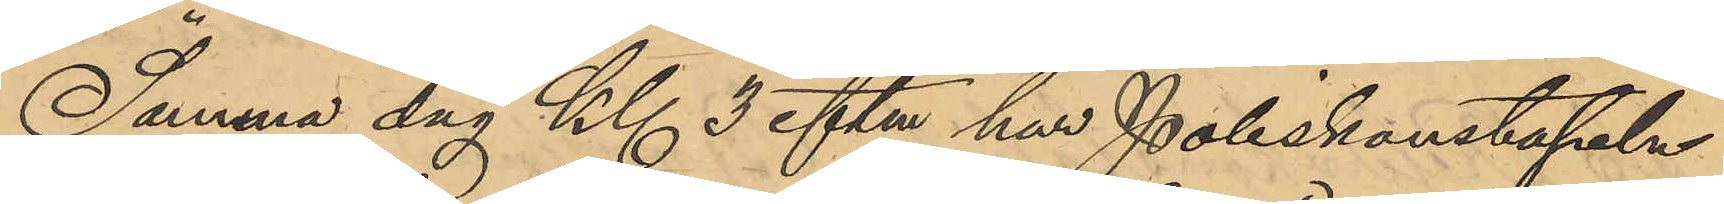Samma dag Kl 3 eftm har Poliskonstapeln
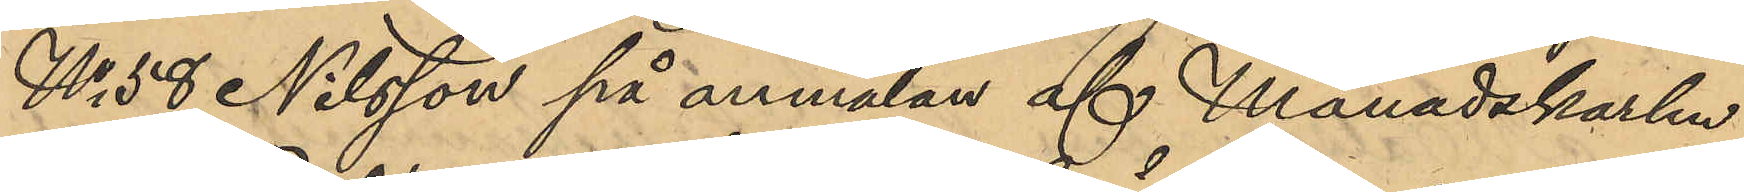No 58 Nilsson på anmälan af Månadskarlen
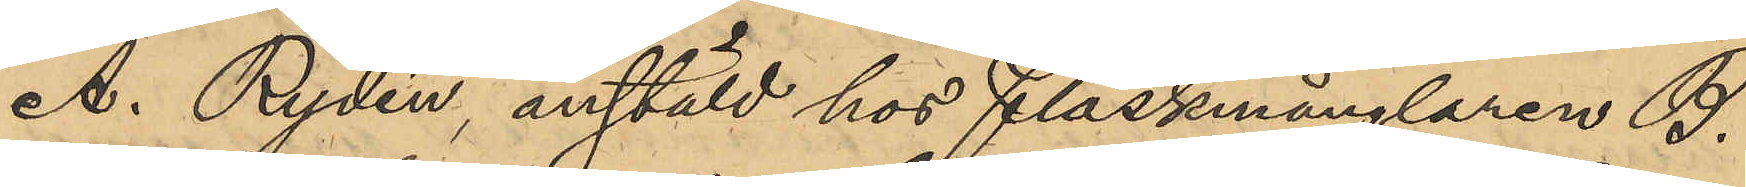A. Rydén, anstäld hos Fläskmånglaren B.
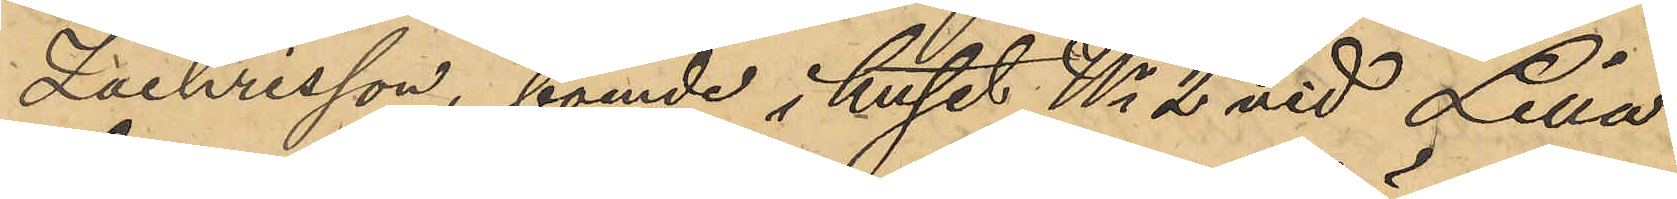Zachrisson, boende i huset No 2 vid Lilla
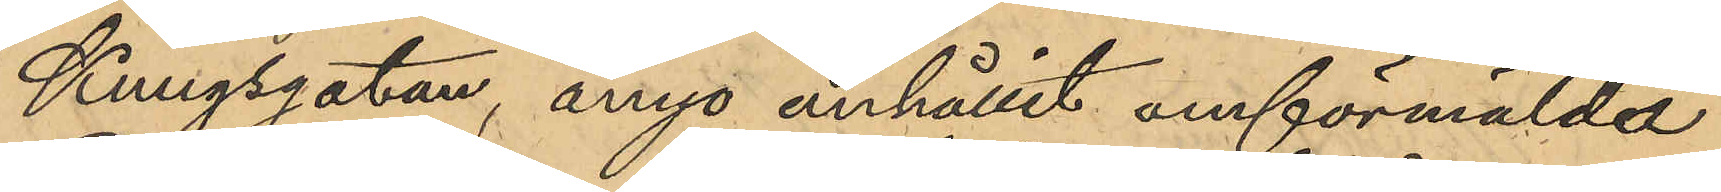Kungsgatan, ånyo anhållit omförmälde
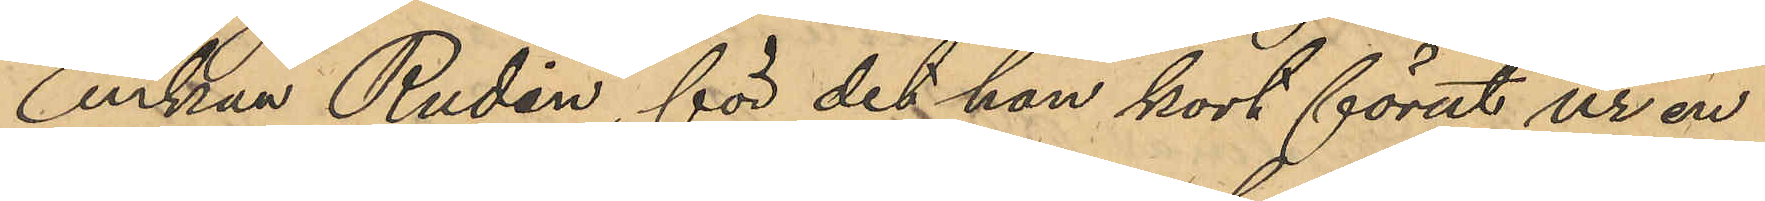Enkan Rudin, för det hon kort förut ur en
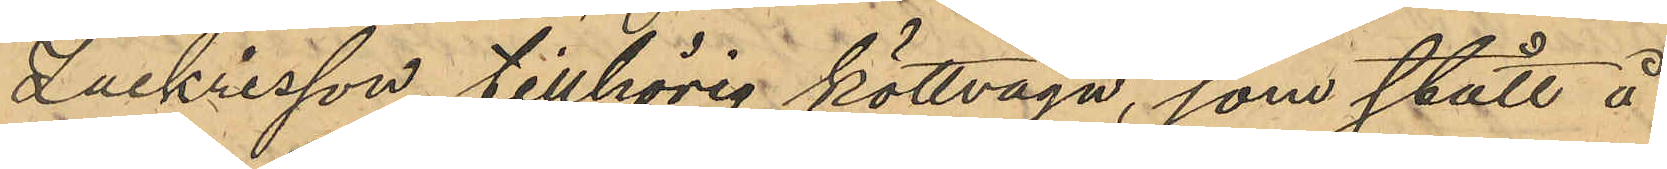Zackrisson tillhörig köttvagn, som stått å
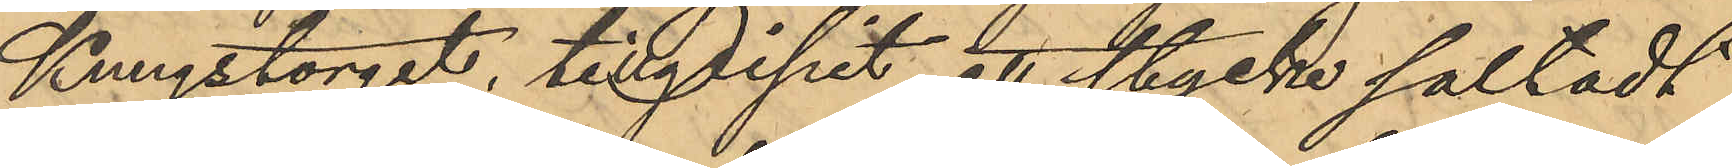Kungstorget, tillgripit ett stycke saltadt
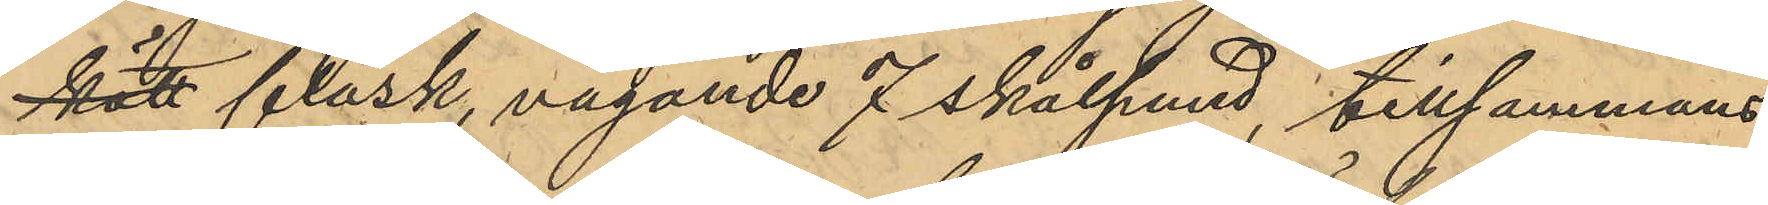kött fläsk, vägande 7 skålpund, tillsammans
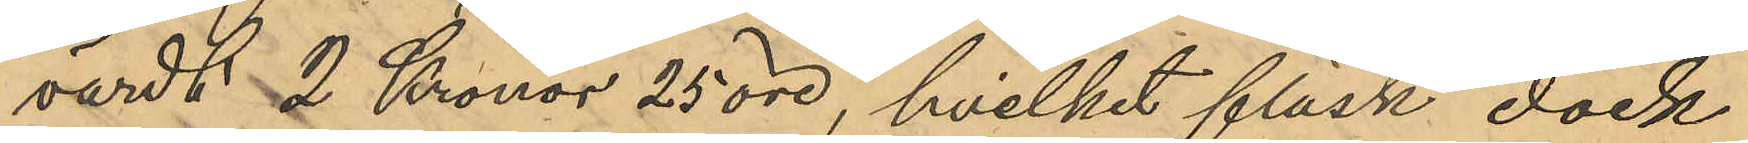värdt 2 Kronor 25 öre, hvilket fläsk, dock
